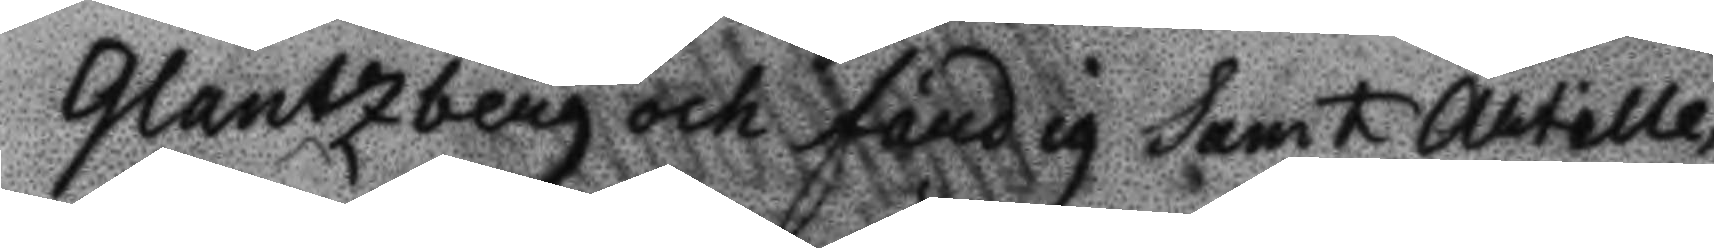Glantzberg och Fåndig samt Artille¬
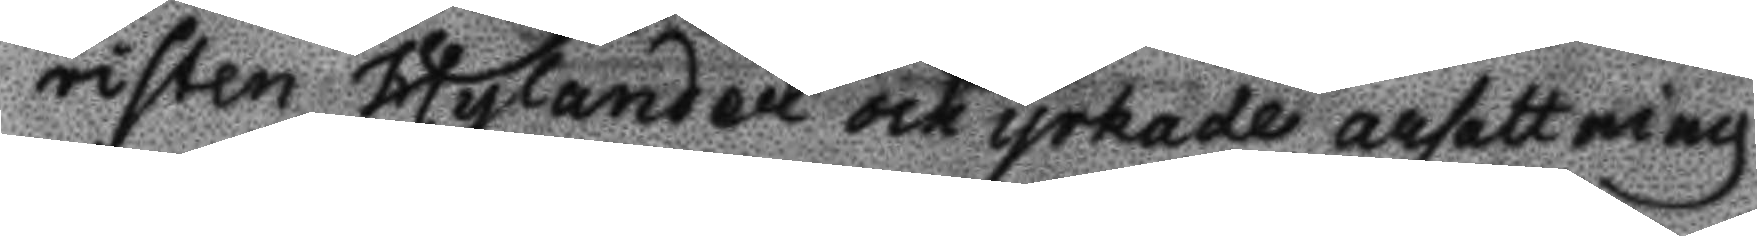risten Hylander och yrkade arsettning
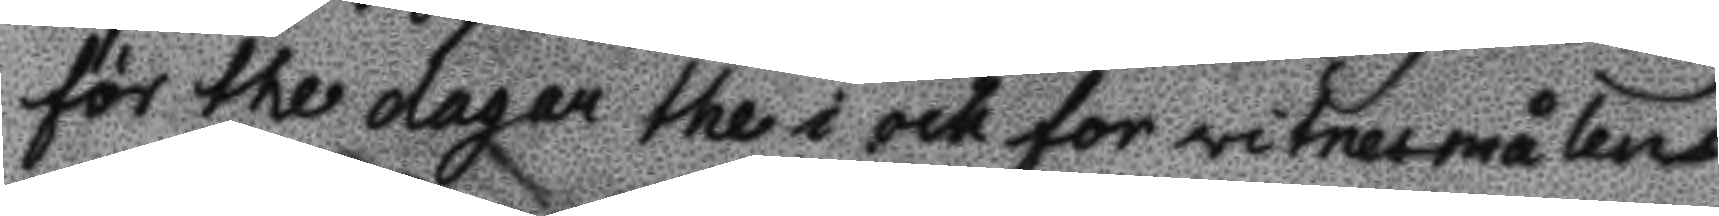för the dagar the i ock fot vitnesmålens
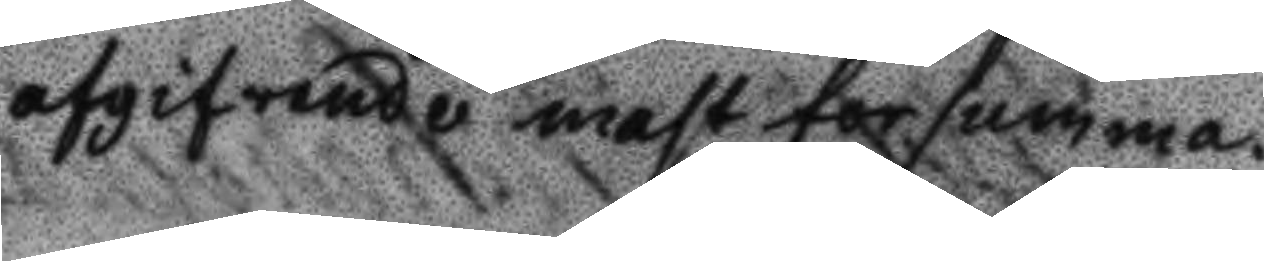afgifvabde mast forsumma.
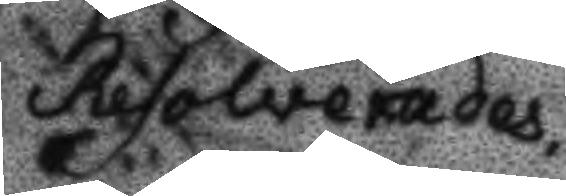Resolverades
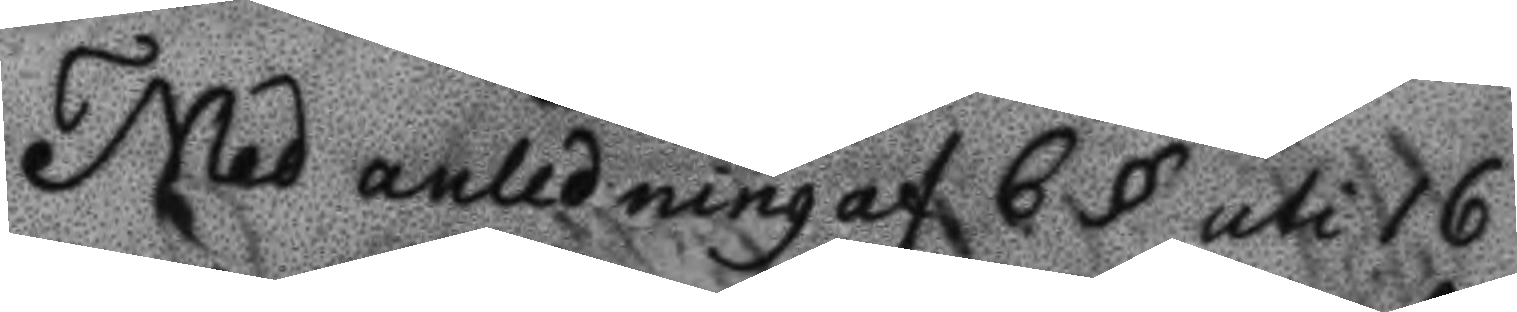Med anledning af 6 § uti 16
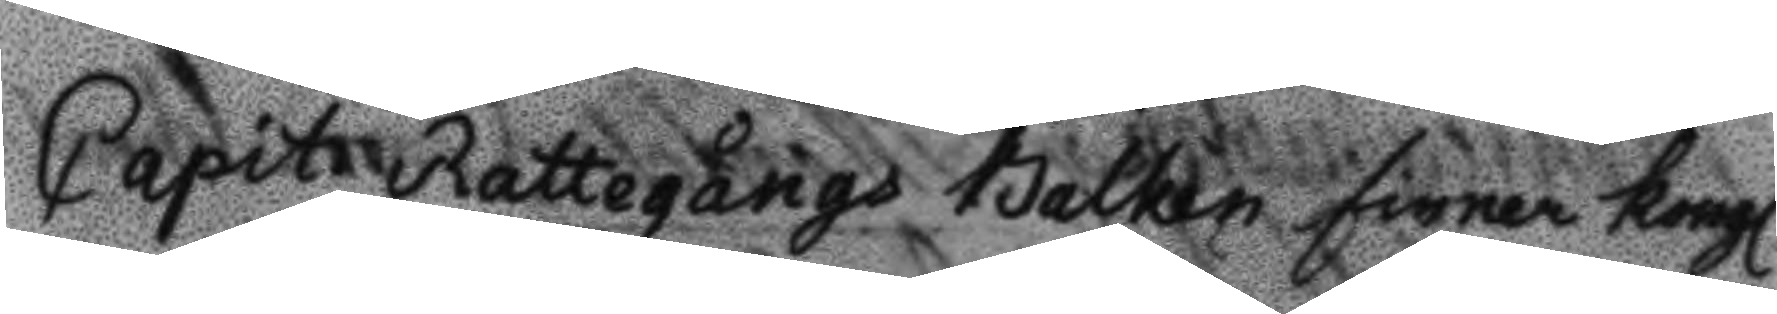Capit. Rattegångd Balken finner kongl.
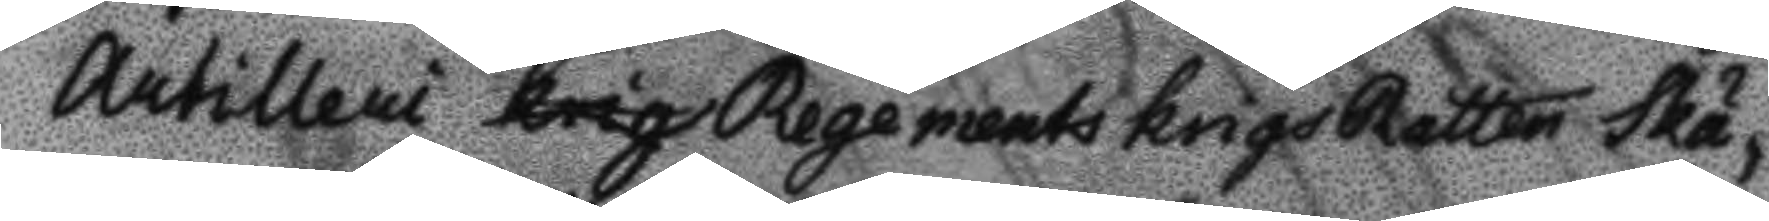Artilleri krig Regements krigsRätten skä¬
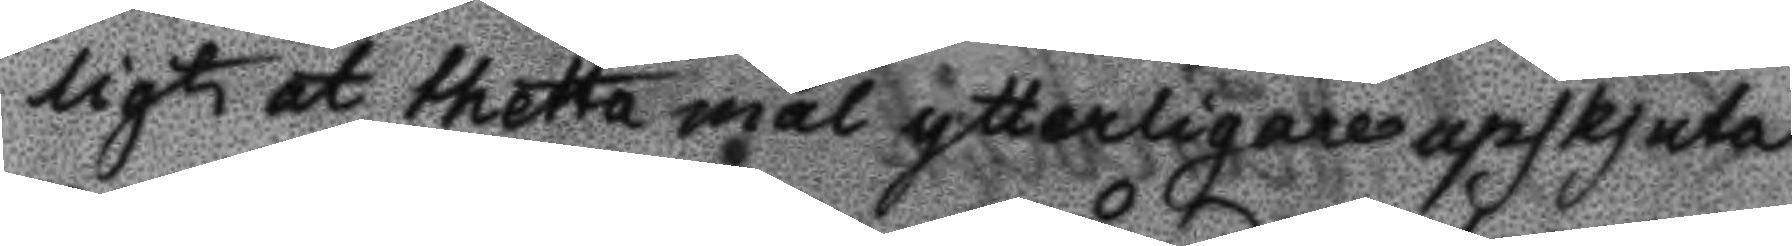ligt at thetta mål ytterligare upskjuta
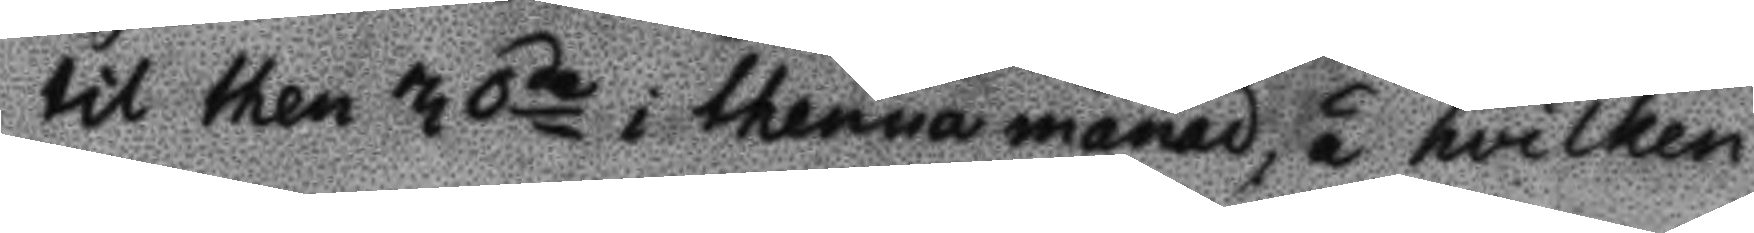til then 30de i thenna månad, å hvilken
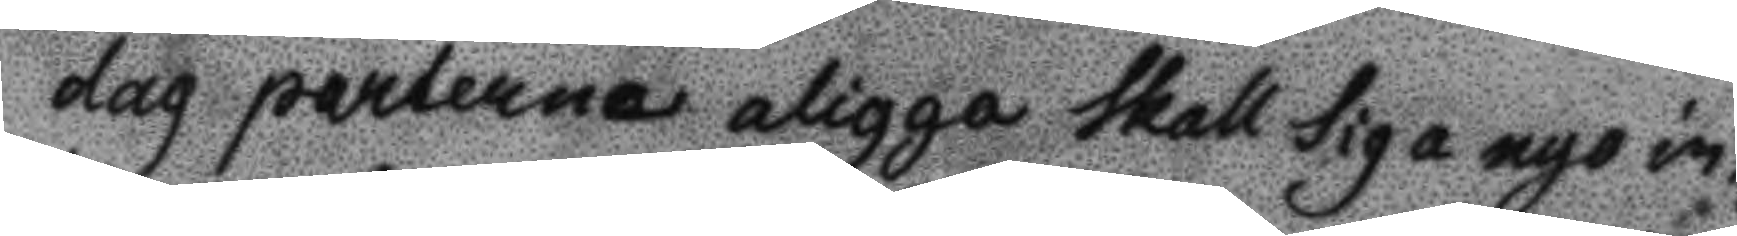dag parterna aligga skall sig a nyo in¬
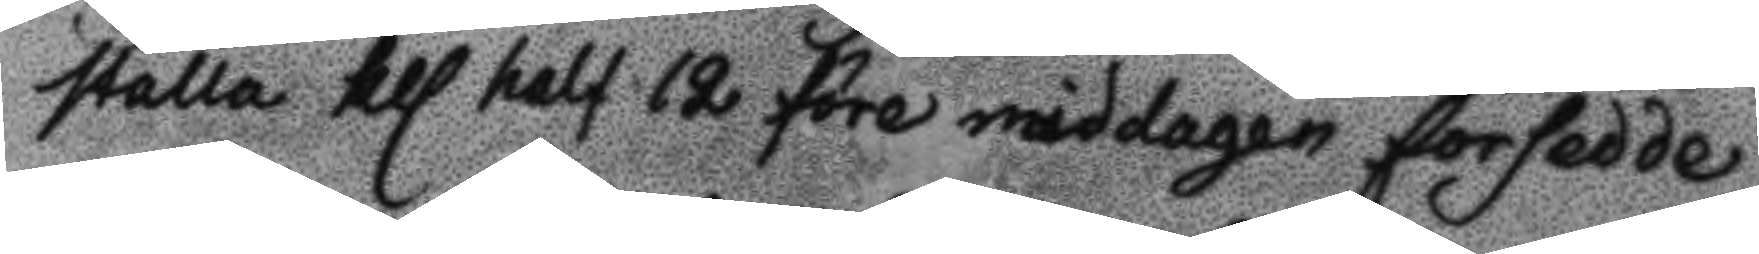stall kl. half 12 före middagen forsedde
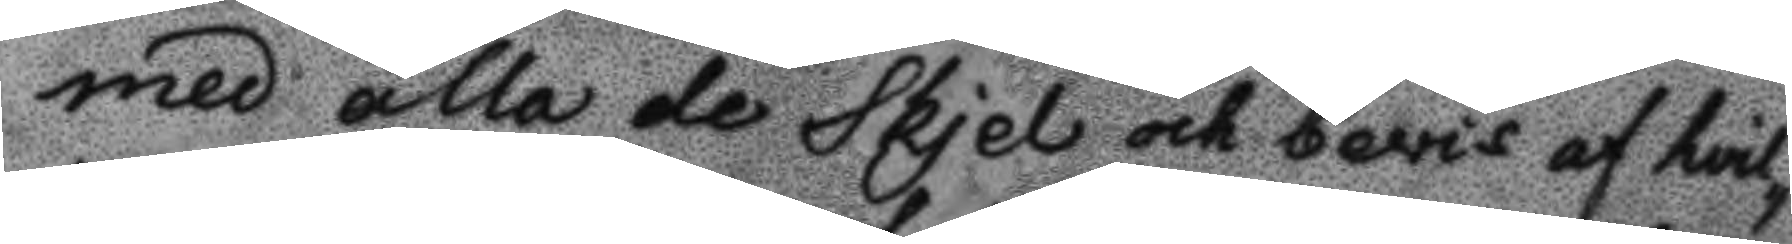med alla de skjel och bevis af hvil¬
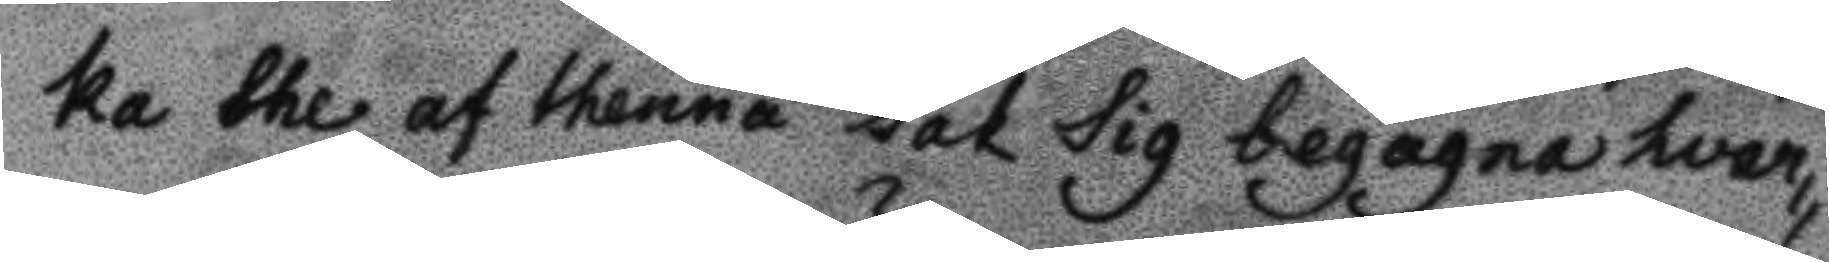ka the af thenna sak sig begagna hvar¬
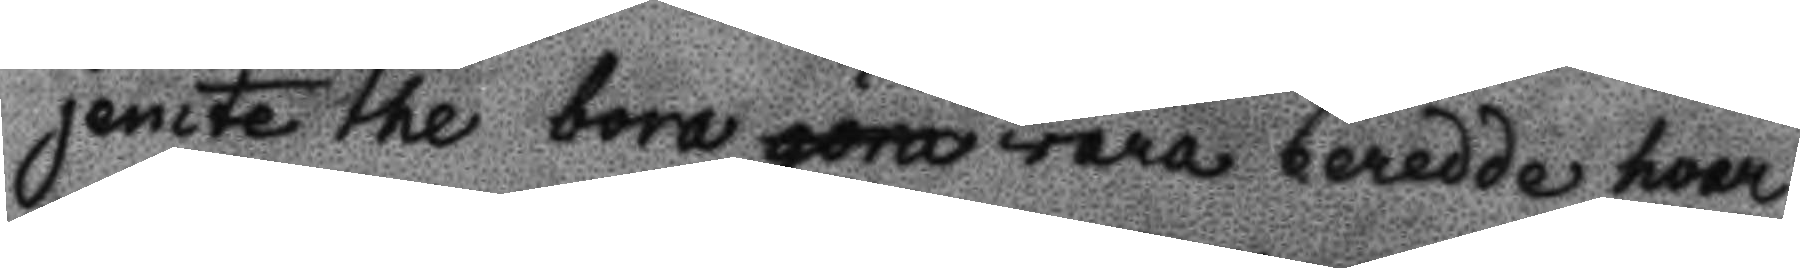jemte the bora göra vara beredde hvar
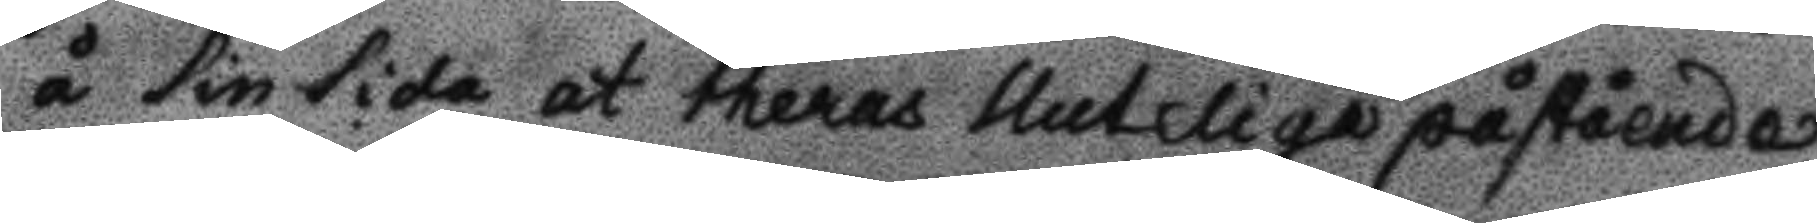å sin sida at theras sluteliga påstående
